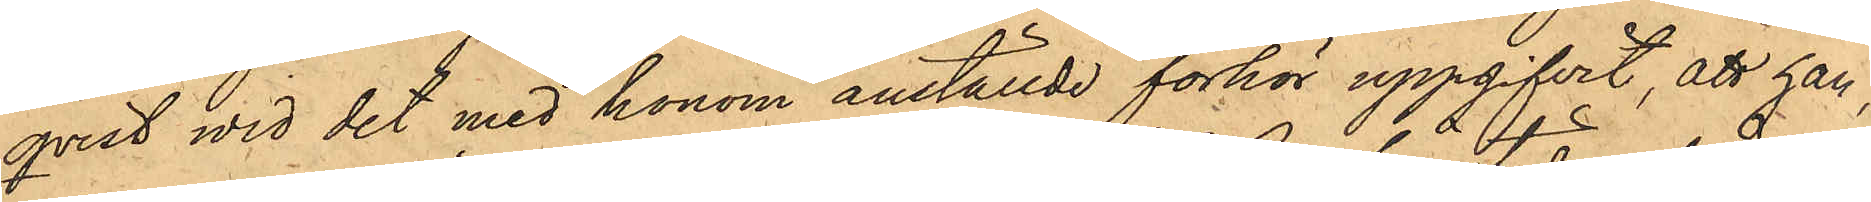qvist wid det med honom anställde förhör uppgifvit, att han,
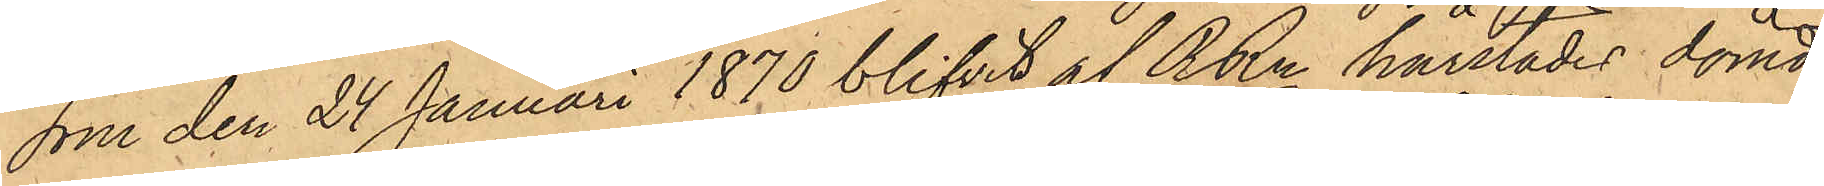som den 24 Januari 1870 blifvit af RRn härstädes dömd
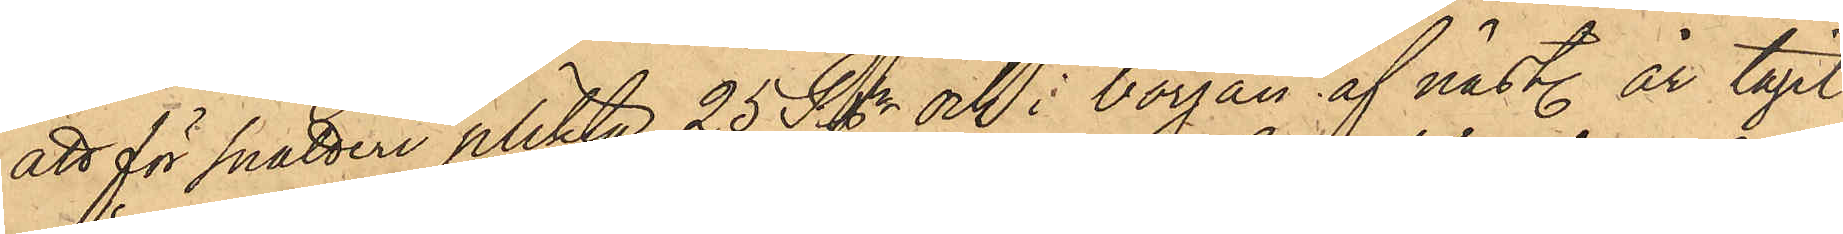att för snatteri plikta 25 Rgr och i början af näst. år tagit
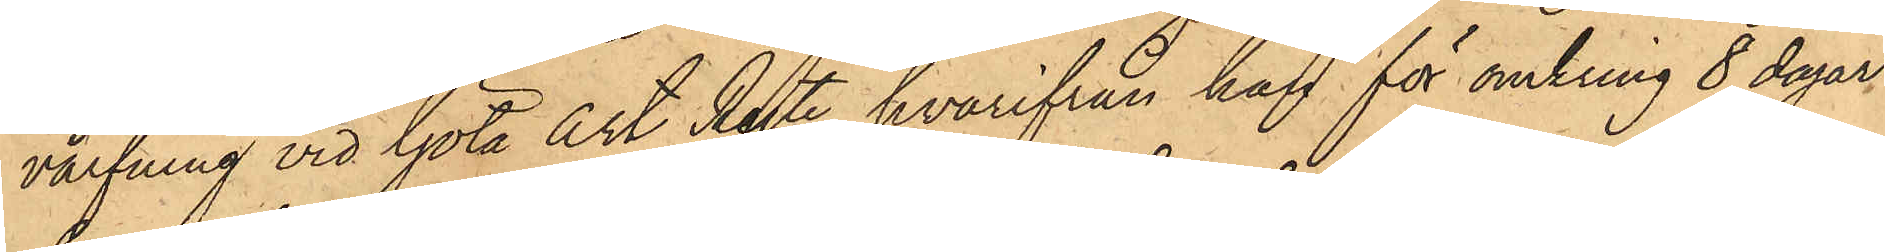värfning vid Göta Art Regte, hvarifrån han för omkring 8 dagar
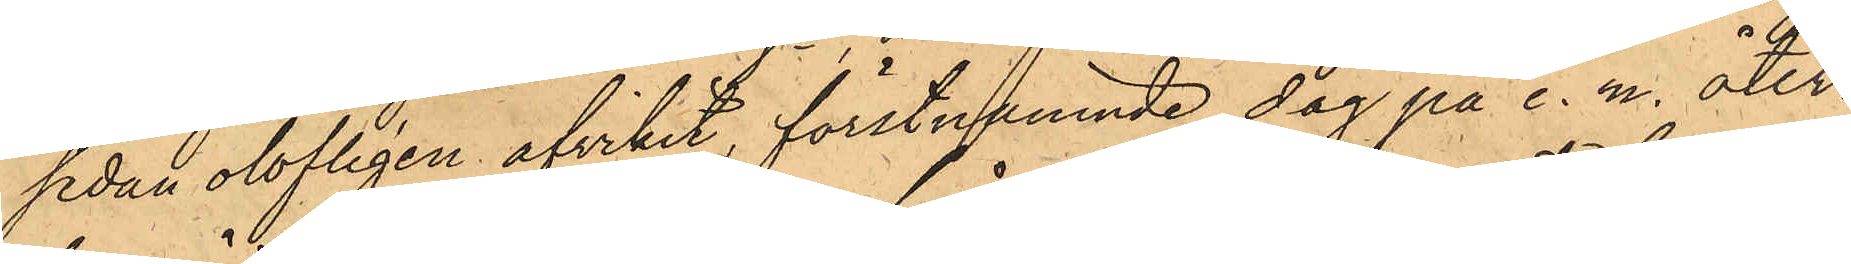sedan olofligen afvikit, förstnämnde dag på e. m. åter¬
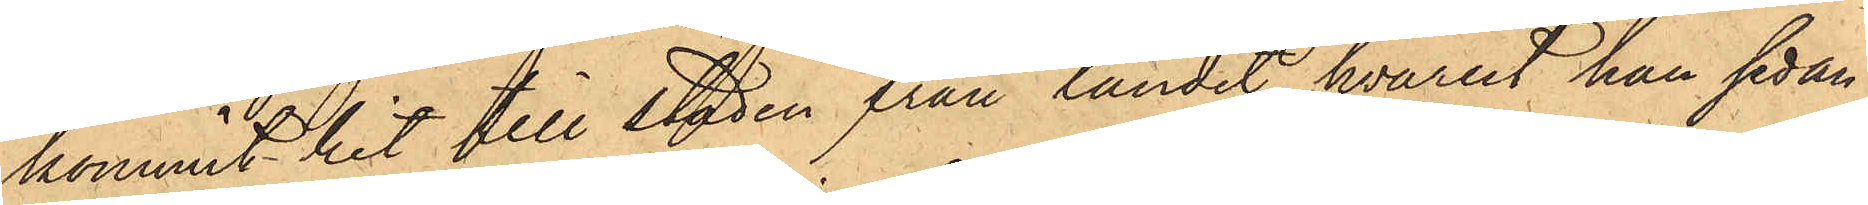kommit hit till staden från landet, hvarest han sedan
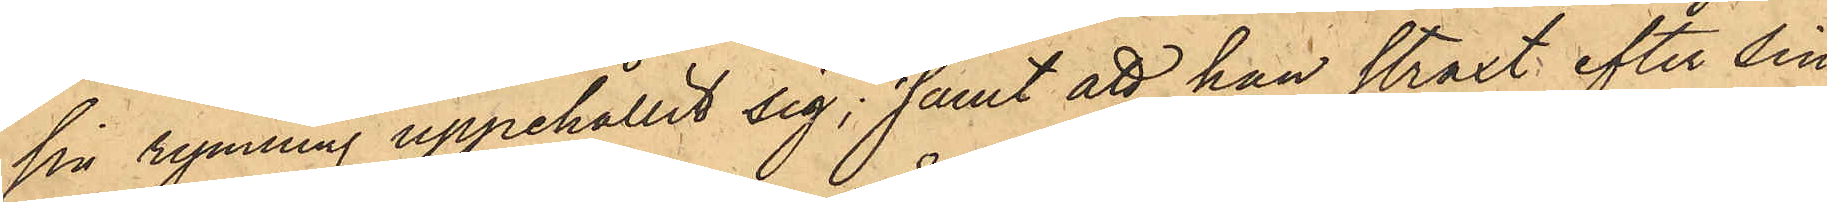sin rymning uppehållit sig; samt att han straxt efter sin
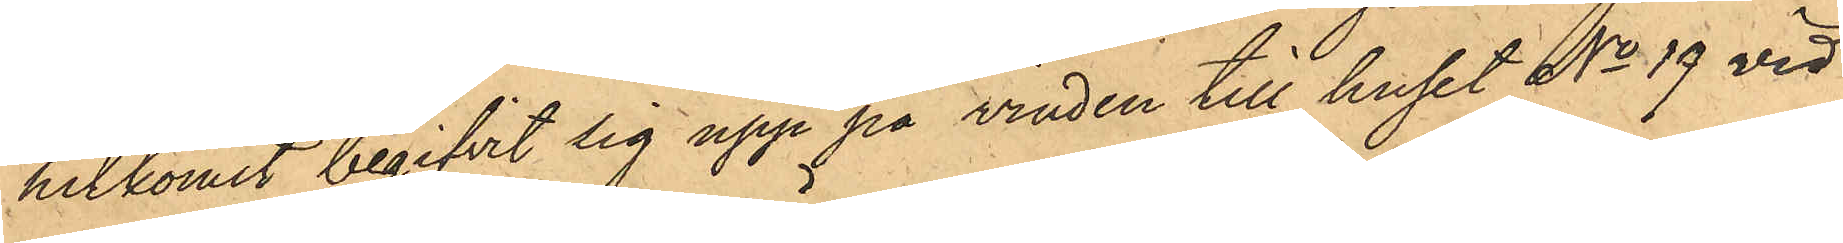hitkomst begifvit sig upp på vinden till huset No 19 vid
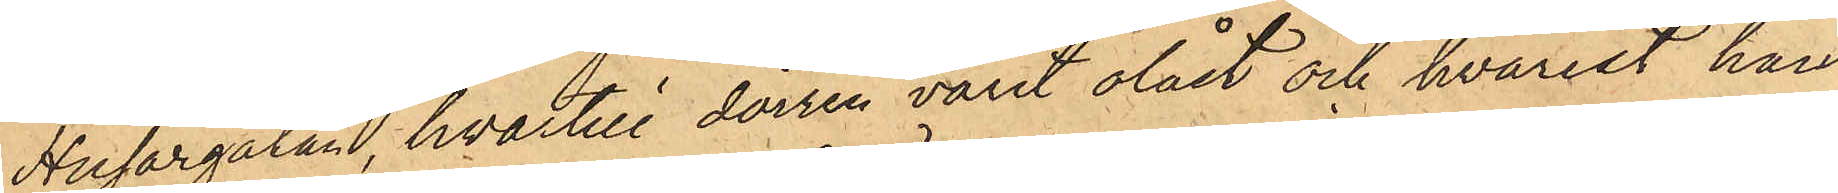Husargatan, hvartill dörren varit olåst och hvarest han
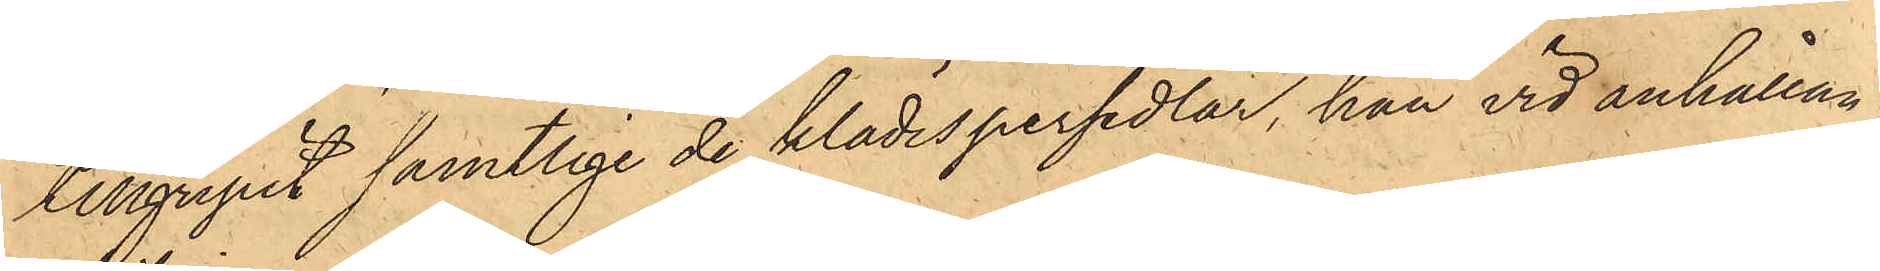tillgripit samtlige de klädespersedlar, han vid anhållan¬
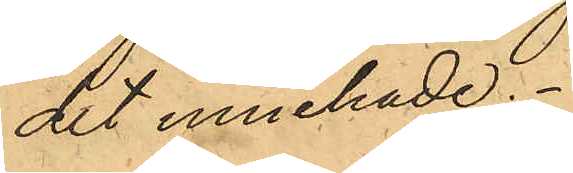det innehade.
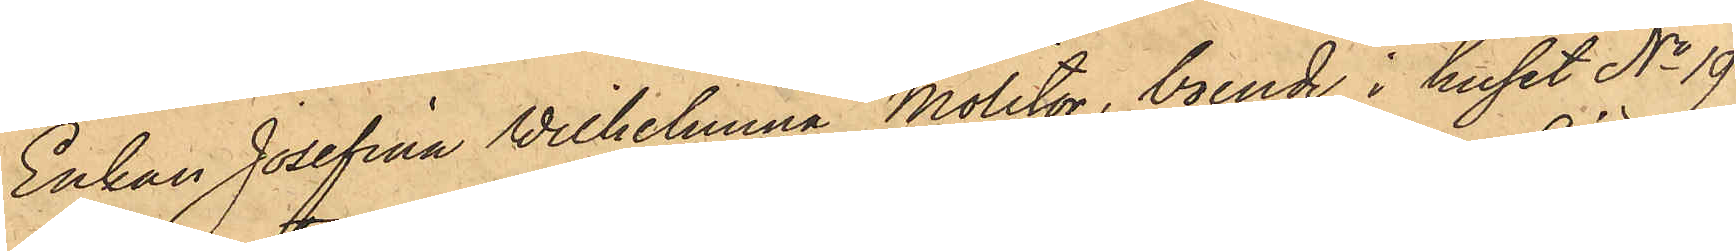Enkan Josefina Wilhelmina Molitor, boende i huset No 19
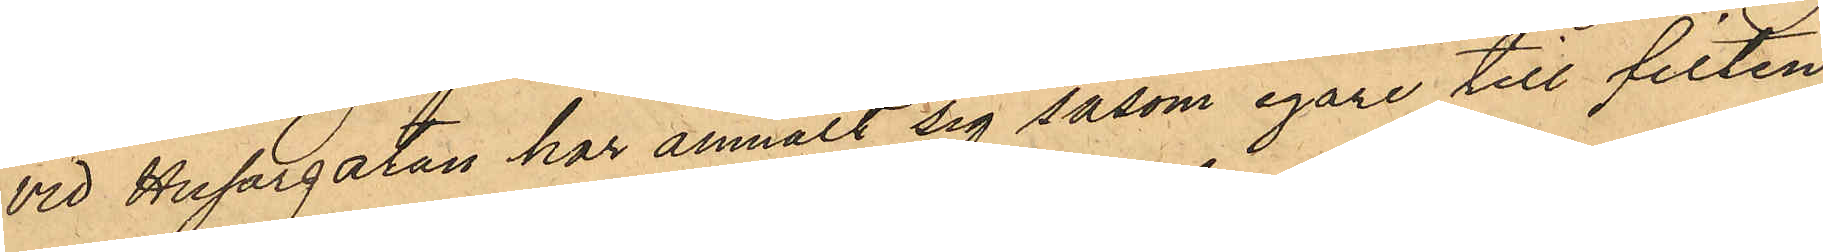vid Husargatan har anmält sig såsom egare till filten
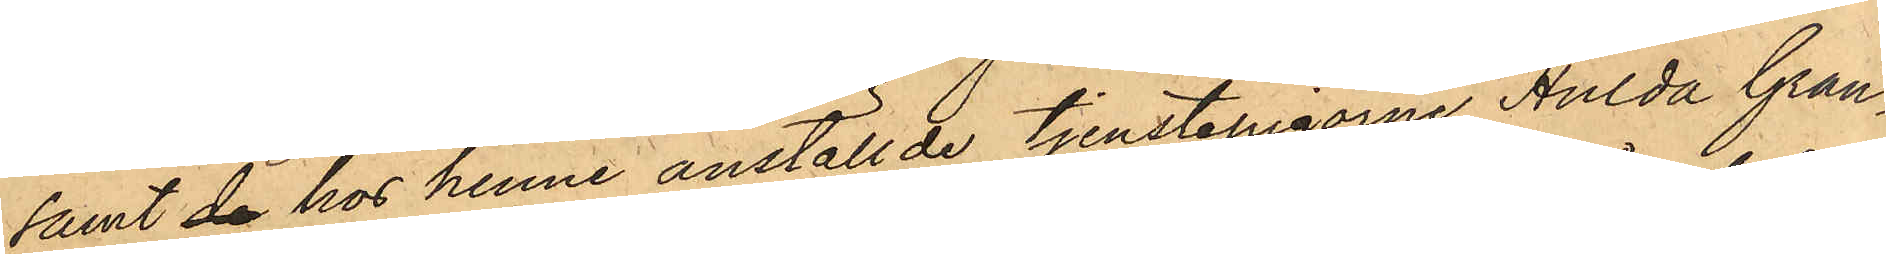samt de hos henne anställde tjenstepigorne Hulda Gran¬
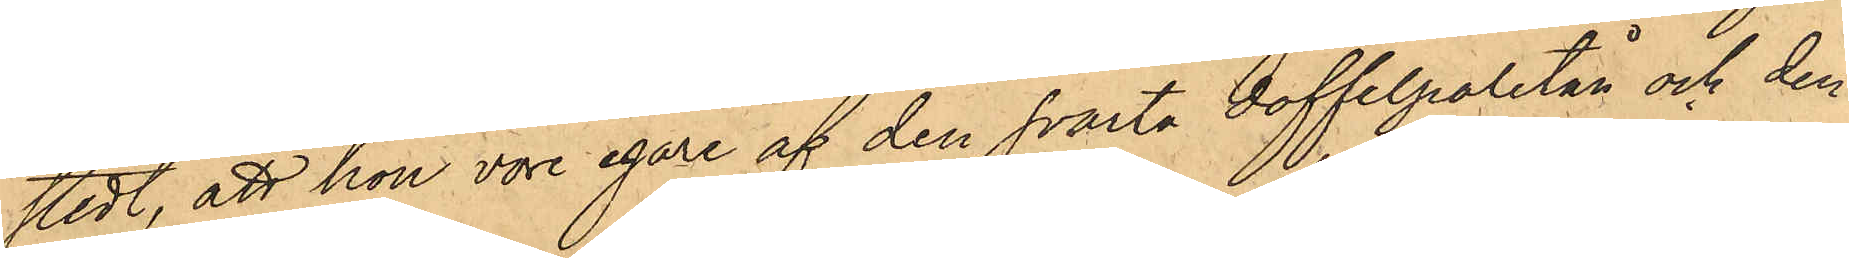stedt, att hon vore egare af den svarta doffelpaletån och den
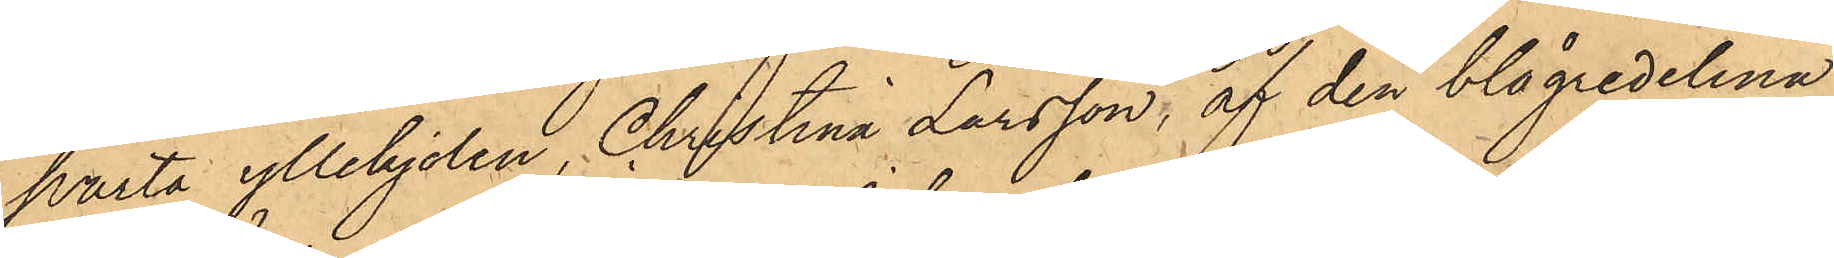svarta yllekjolen, Christina Larsson, af den blågredelina
